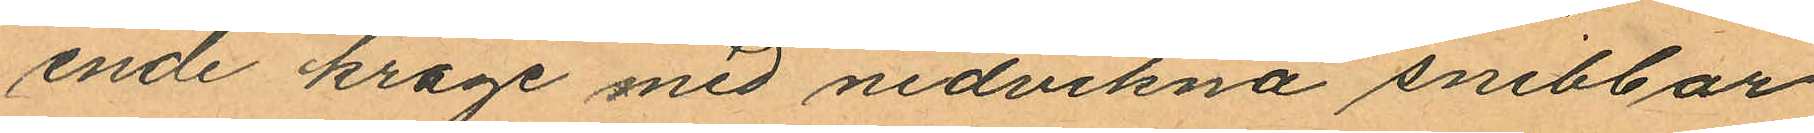ende krage med nedvikna snibbar
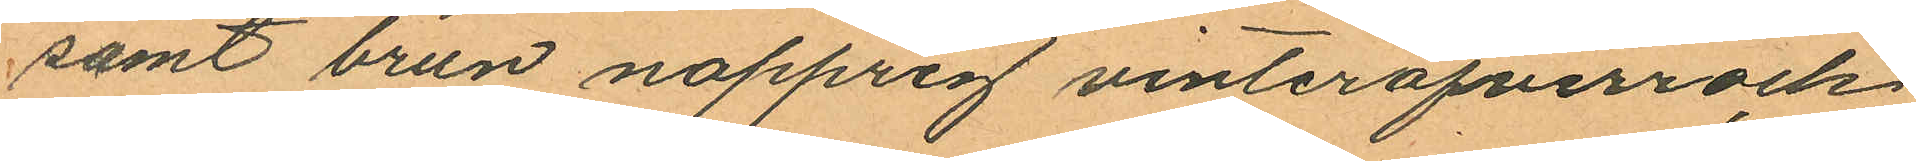samt brun nopprig vinteröfverrock,
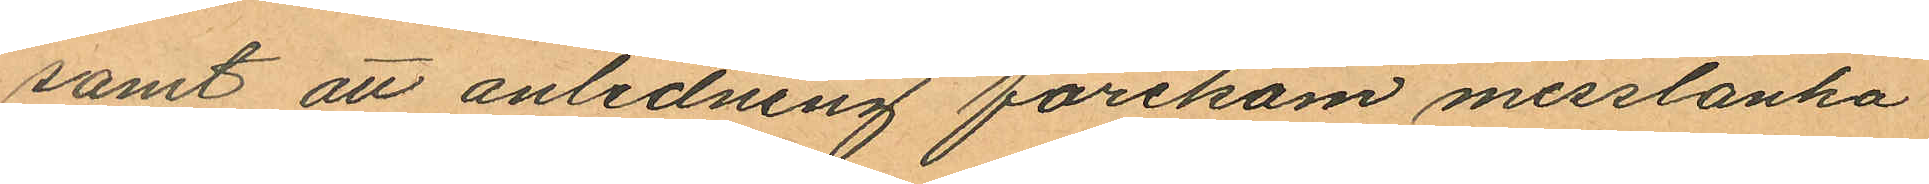samt att anledning förekom misstänka
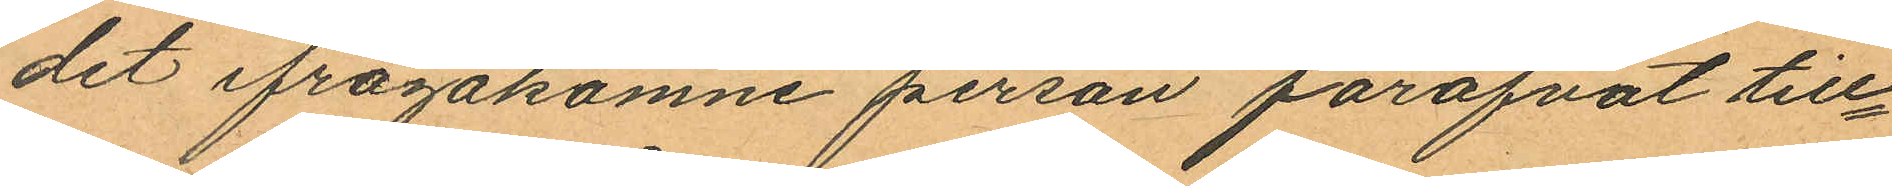det ifrågakomne person föröfvat till¬
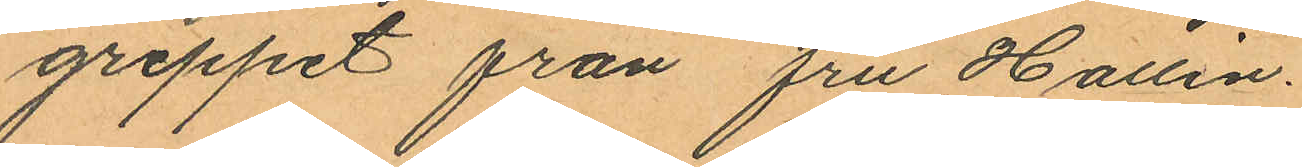greppet från fru Hallin.
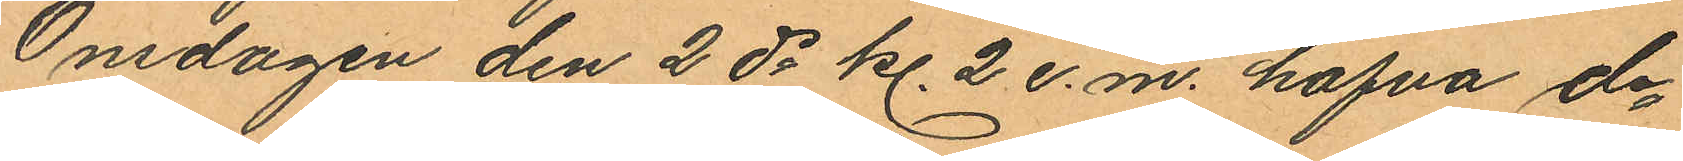Onsdagen den 2 ds kl. 2 e.m. hafva de¬
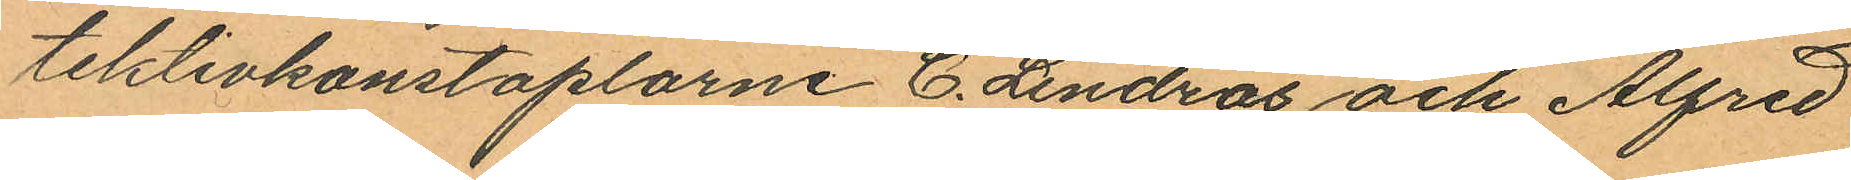tektivkonstaplarne C. Lindros och Alfred
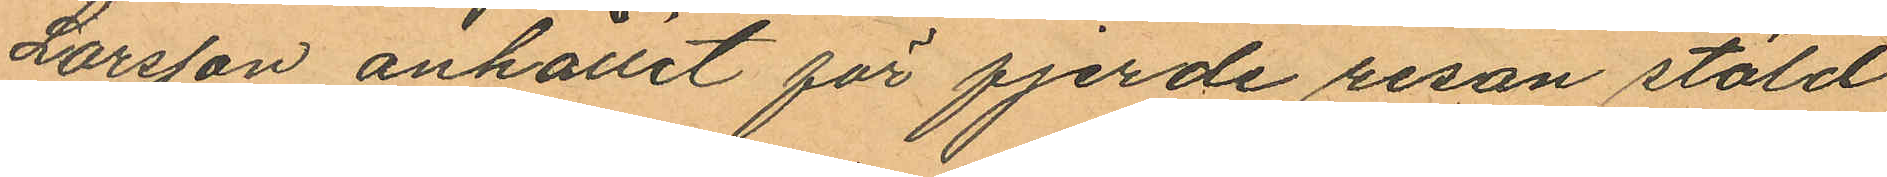Larsson anhållit för fjerde resan stöld
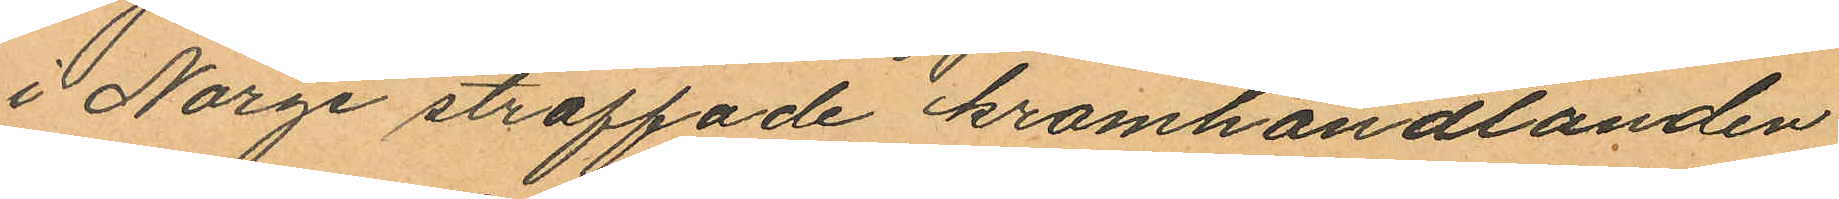i Norge straffade kramhandlanden
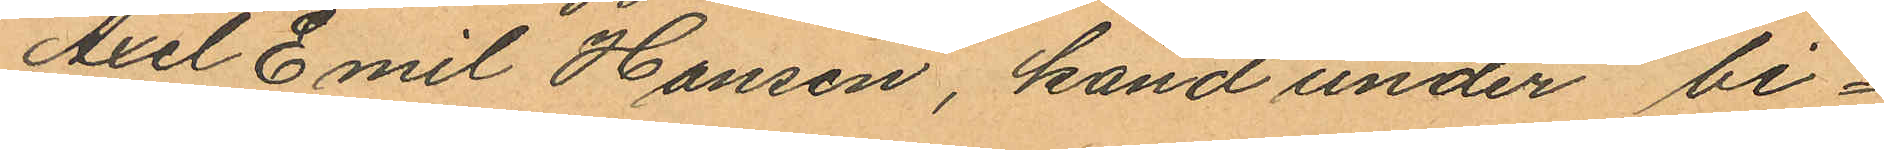Axel Emil Hansen, känd under bi¬
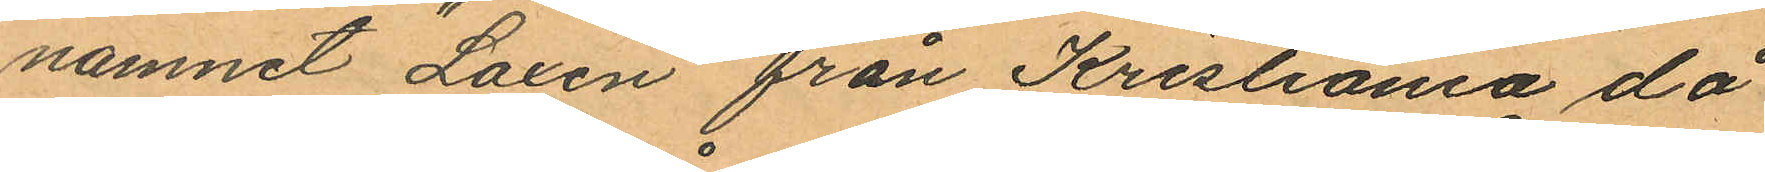namnet "Laxen" från Kristiania då
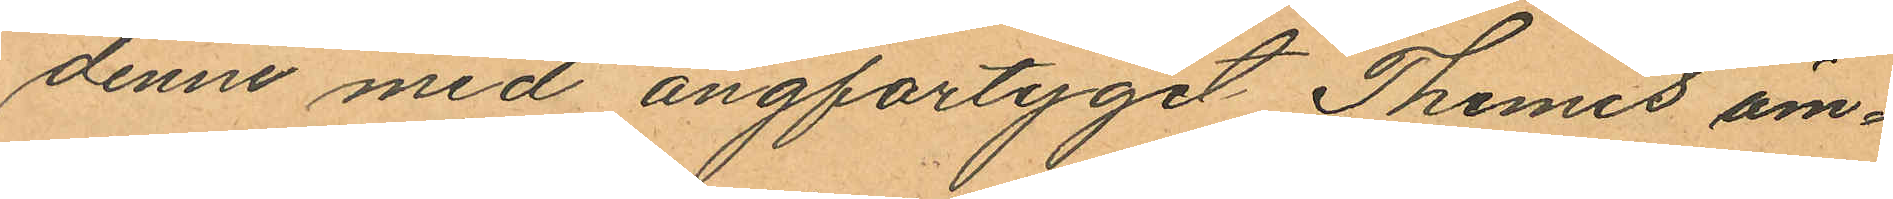denne med ångfartyget Themis äm¬
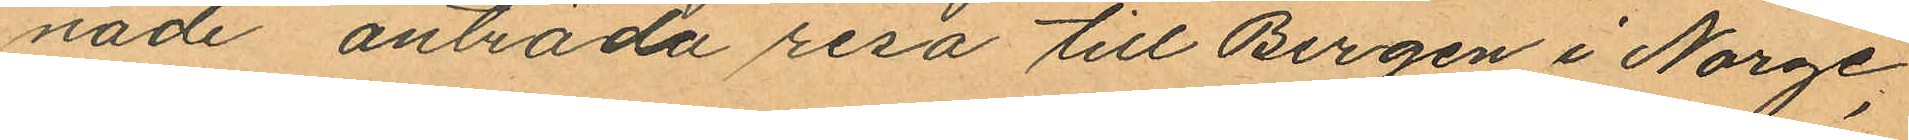nade anträda resa till Bergen i Norge,
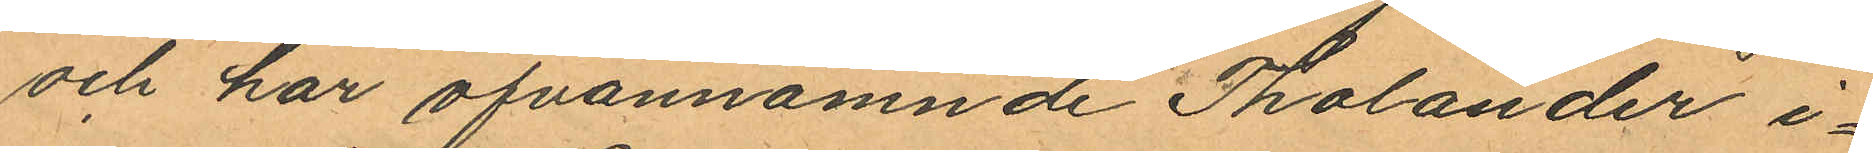och har ofvannämnde Tholander i¬
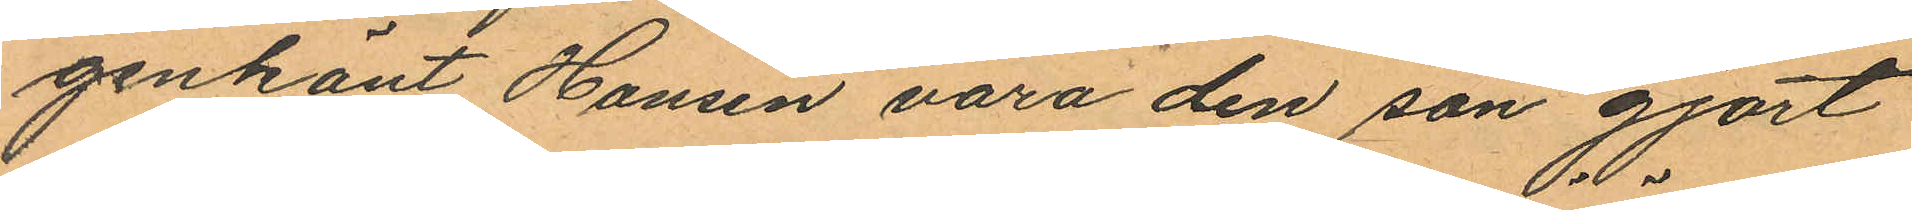genkänt Hansen vara den son gjort
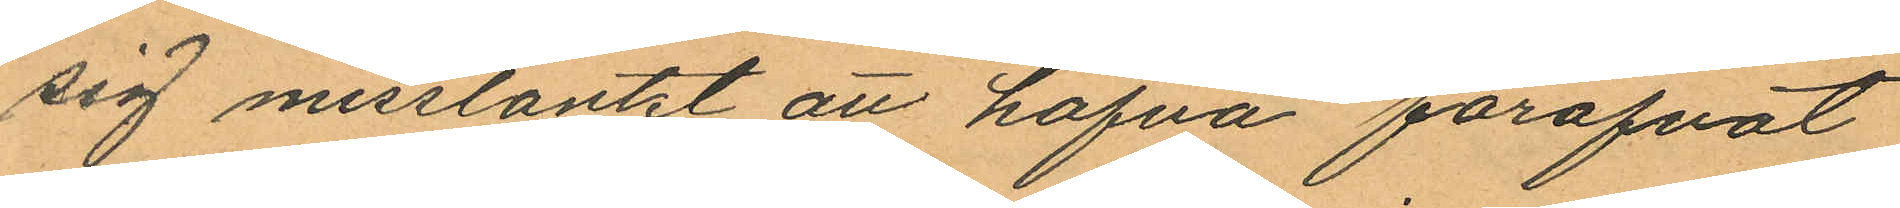sig misstänkt att hafva föröfvat
